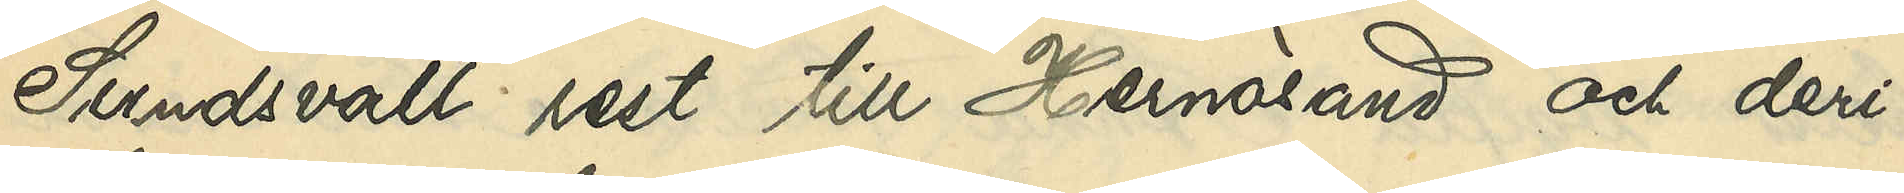Sundsvall rest till Hernösand och deri¬
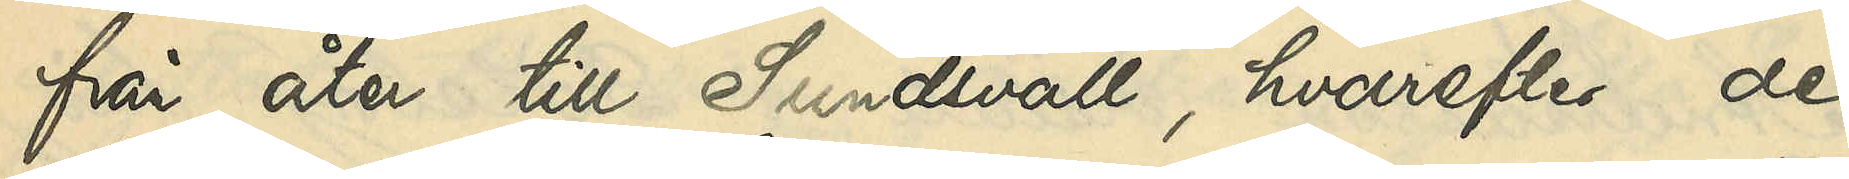från åter till Sundsvall, hvarefter de
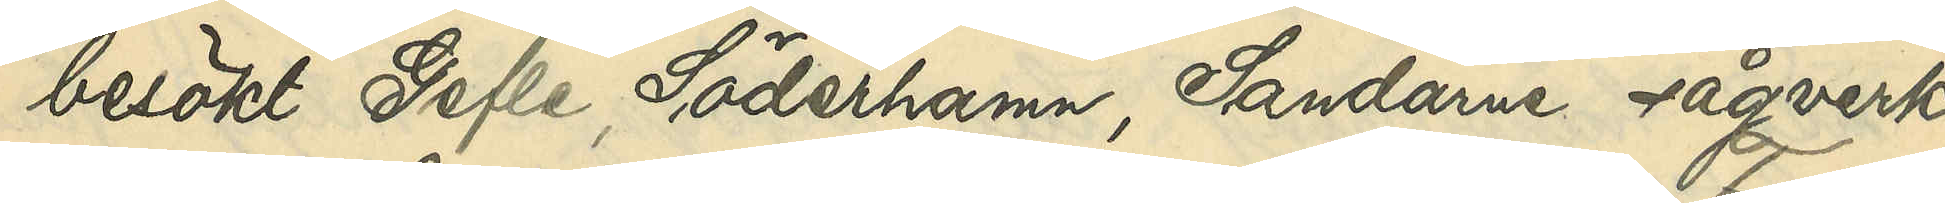besökt Gefle, Söderhamn, Sandarne sågverk,
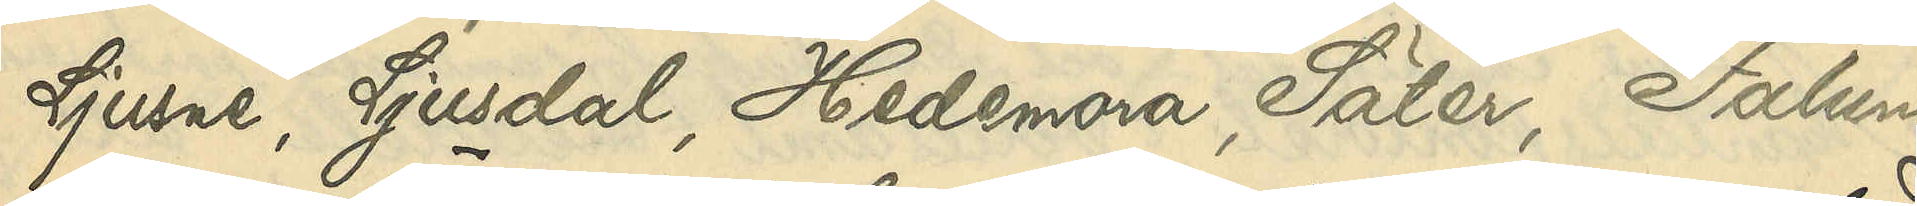Ljusne, Ljusdal, Hedemora, Säter, Falun
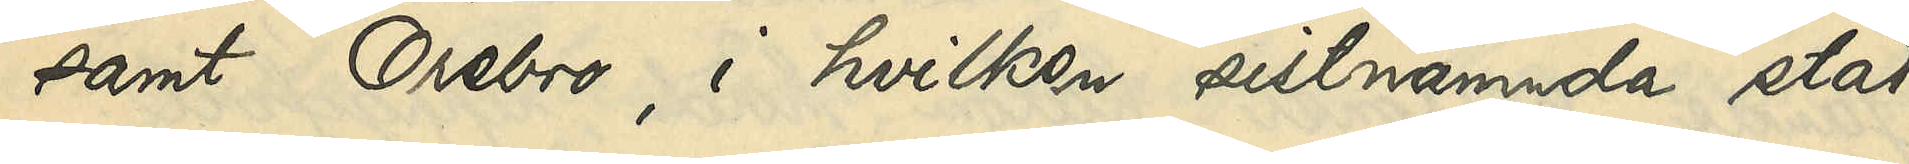samt Örebro, i hvilken sistnämnda stad
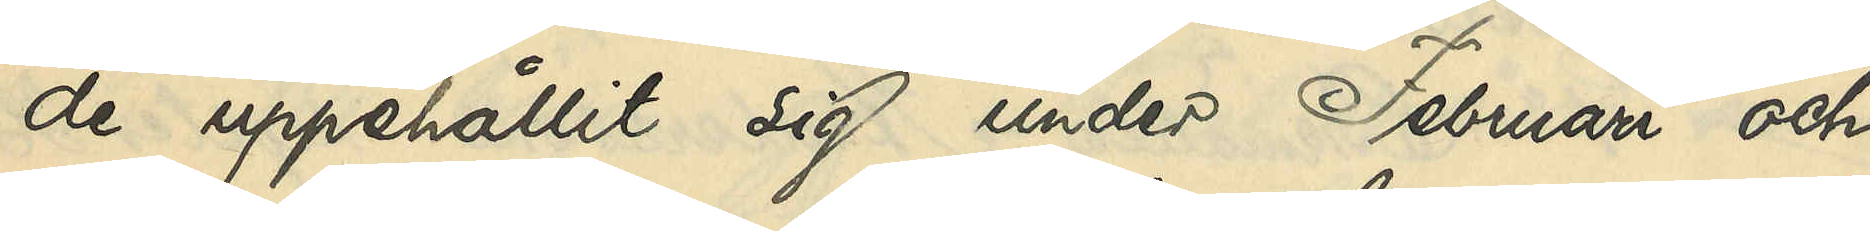de uppehållit sig under Februari och
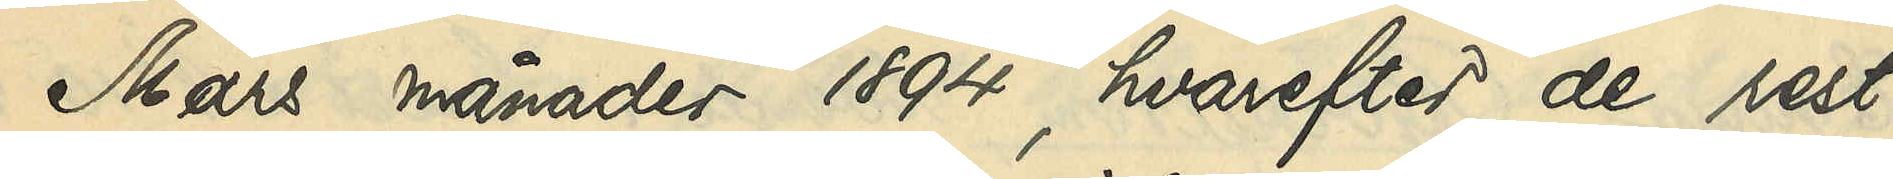Mars månader 1894, hvarefter de rest
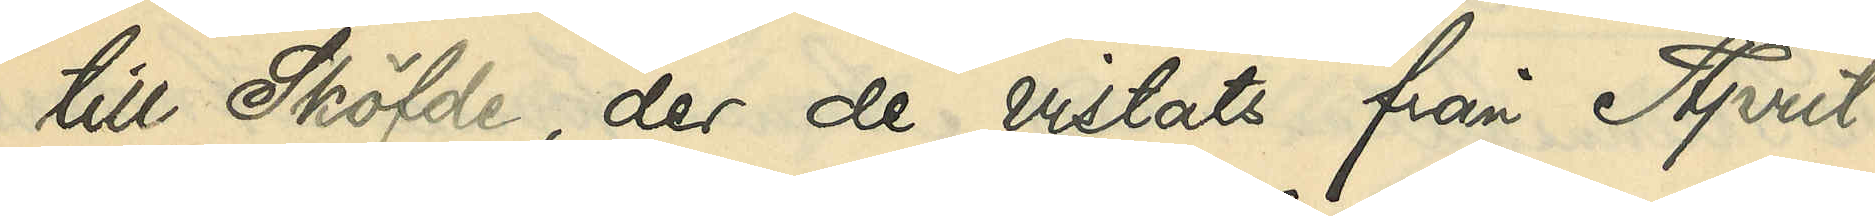till Sköfde, der de vistats från April
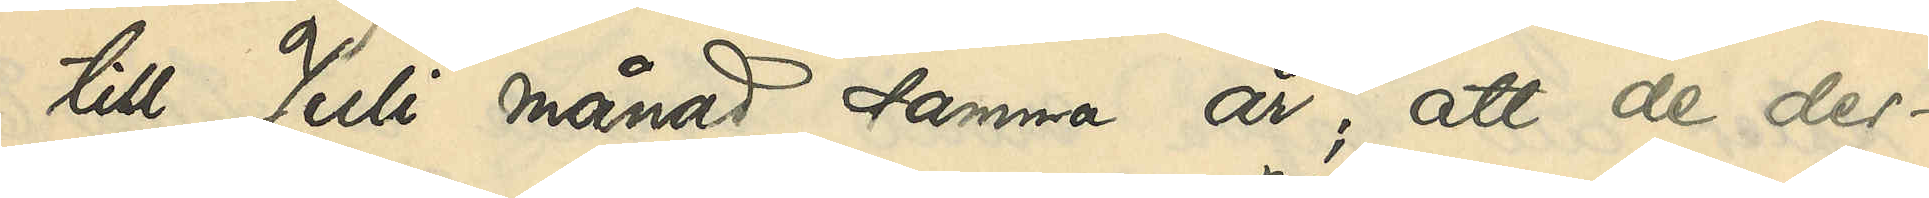till Juli månad samma år; att de der¬
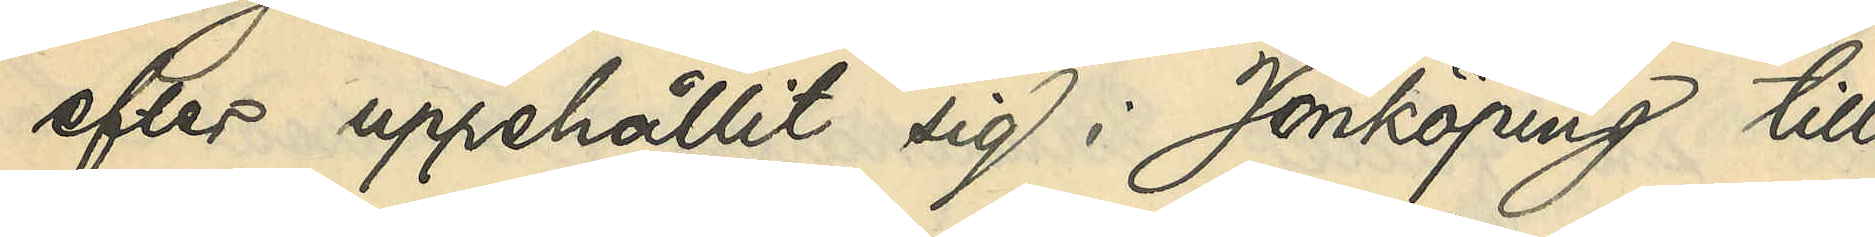efter uppehållit sig i Jönköping till
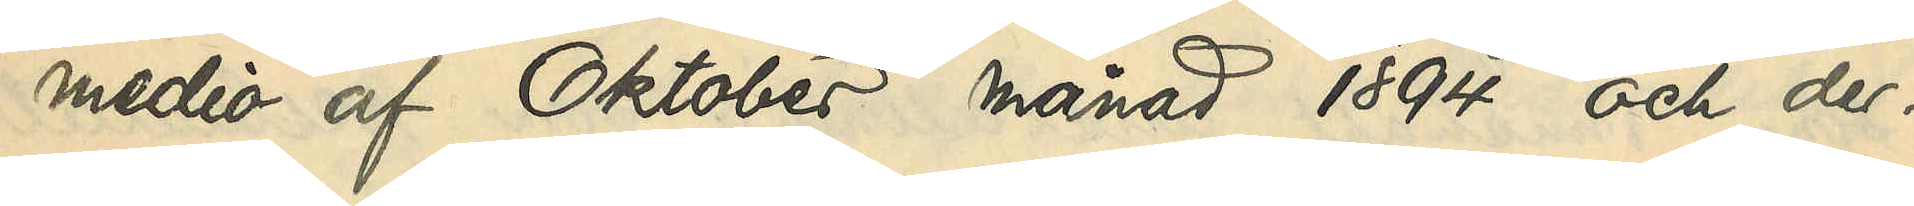medio af Oktober månad 1894 och der¬
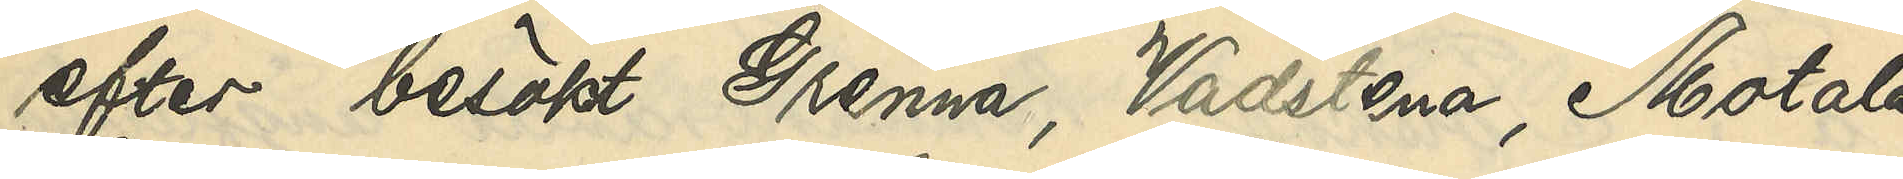efter besökt Grenna, Vadstena, Motala,
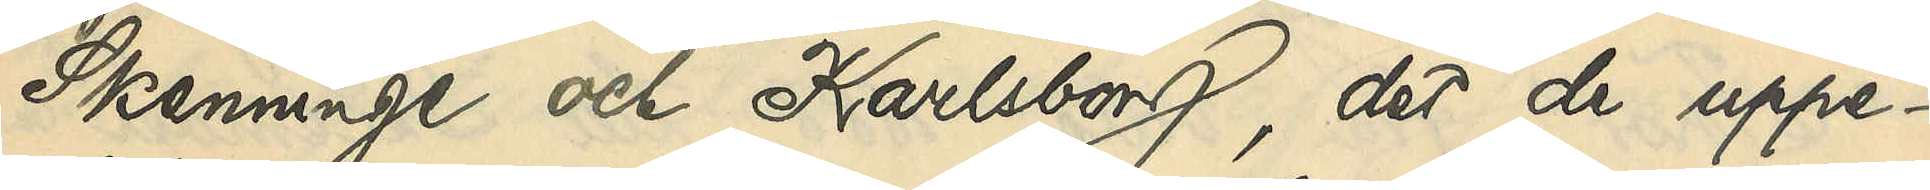Skenninge och Karlsborg, der de uppe¬
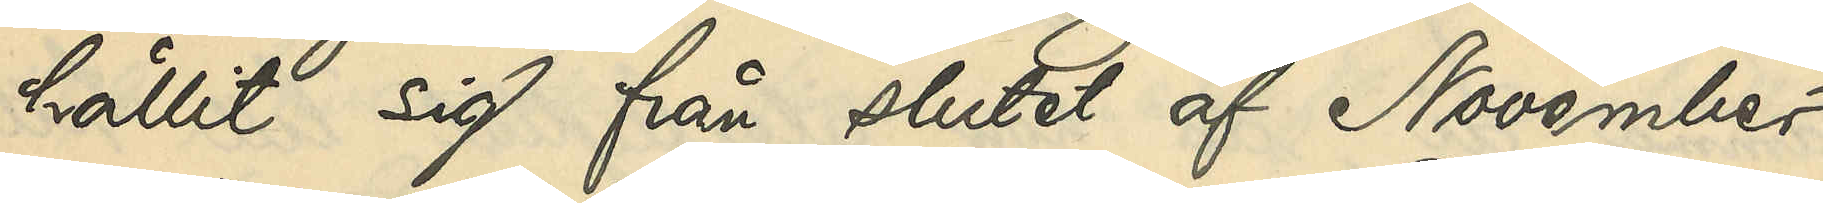hållit sig från slutet af November
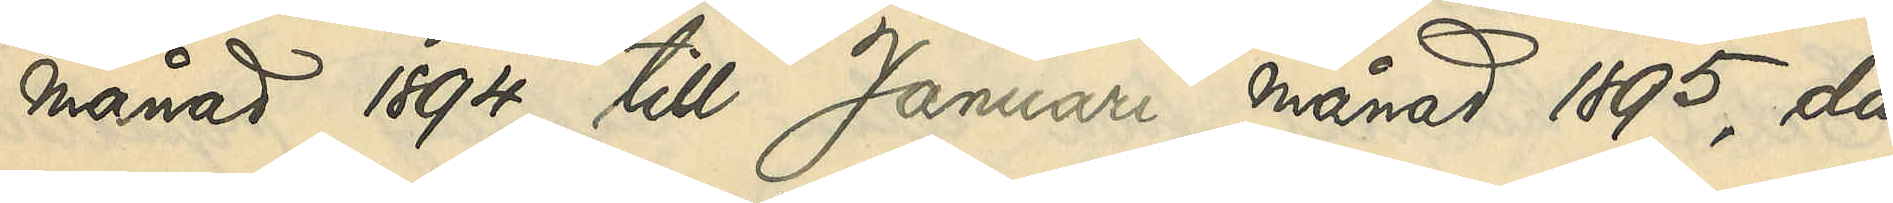månad 1894 till Januari månad 1895, då
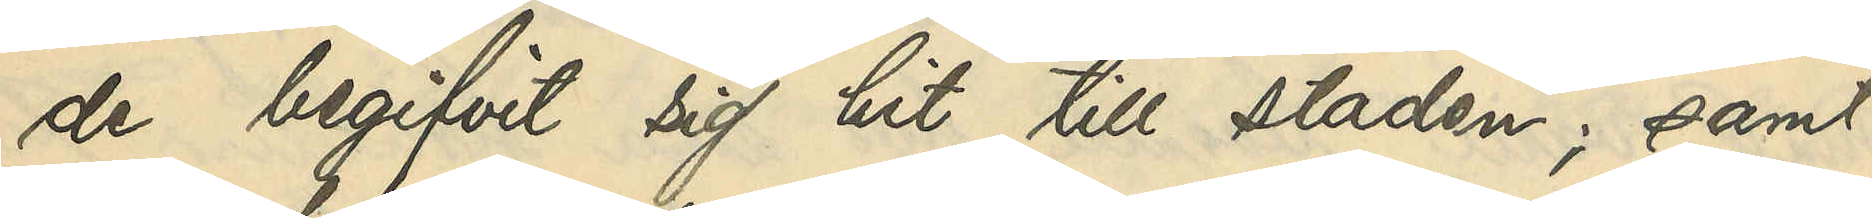de begifvit sig hit till staden; samt
